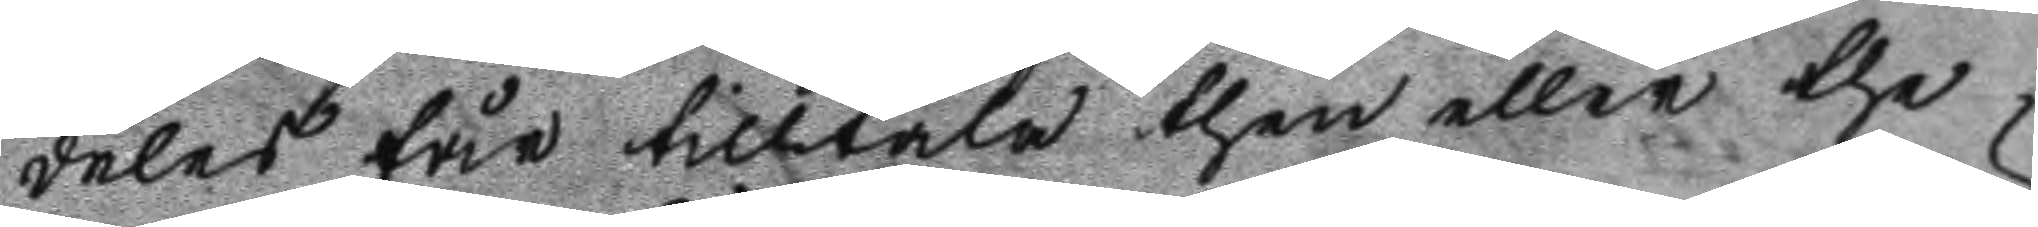deles får tilltala then eller the
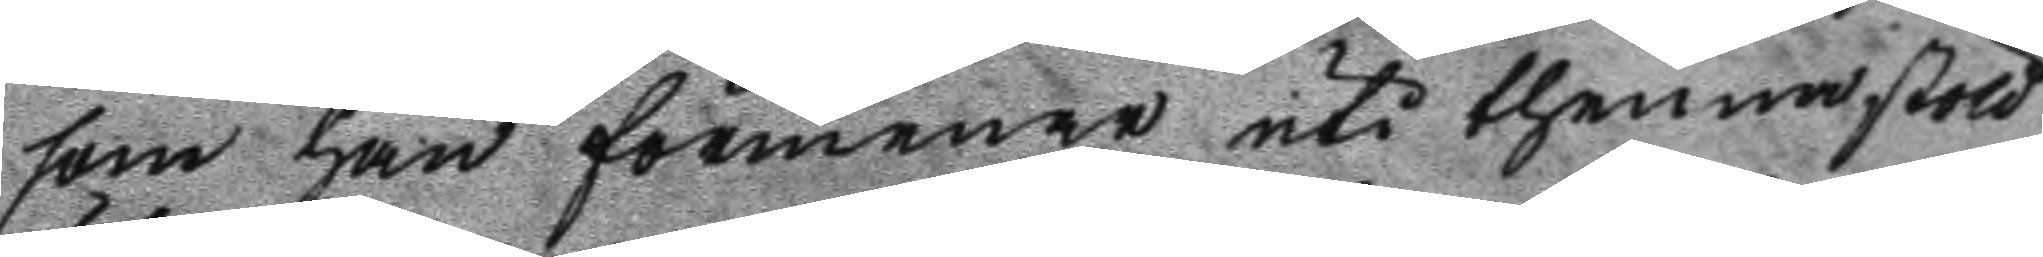som han förmenar uti thenna stöld
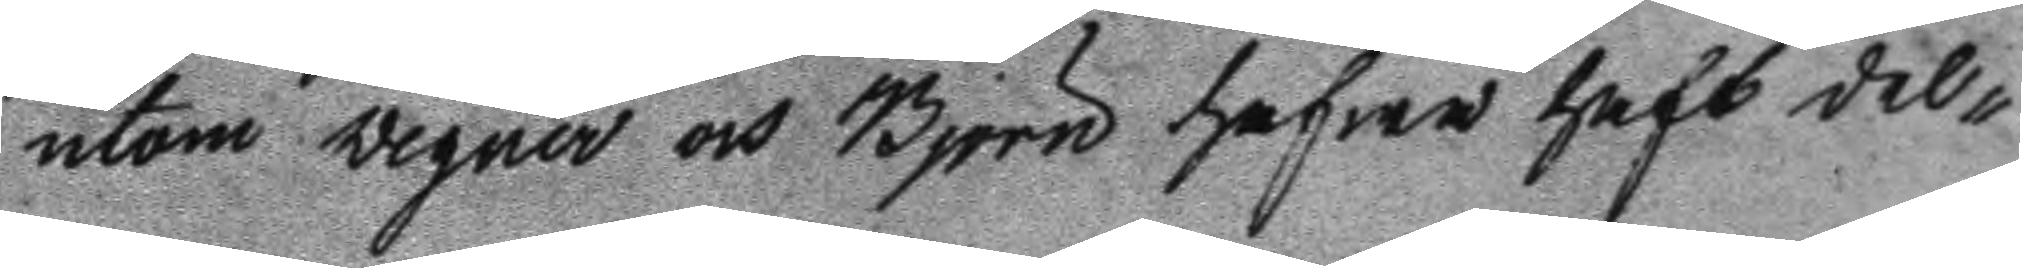utom Wegner och BJörn hafwa haft del¬
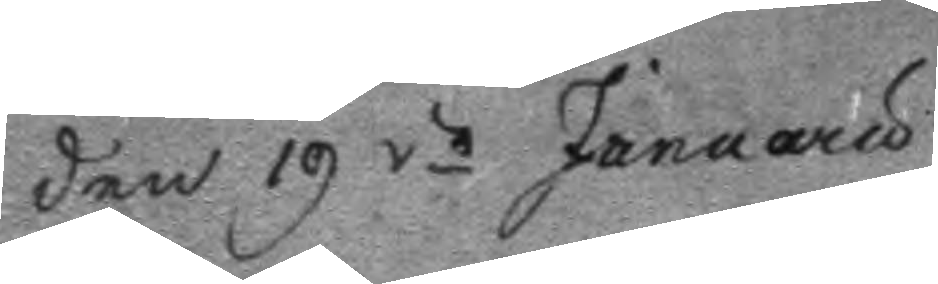Den 19 de Januaru
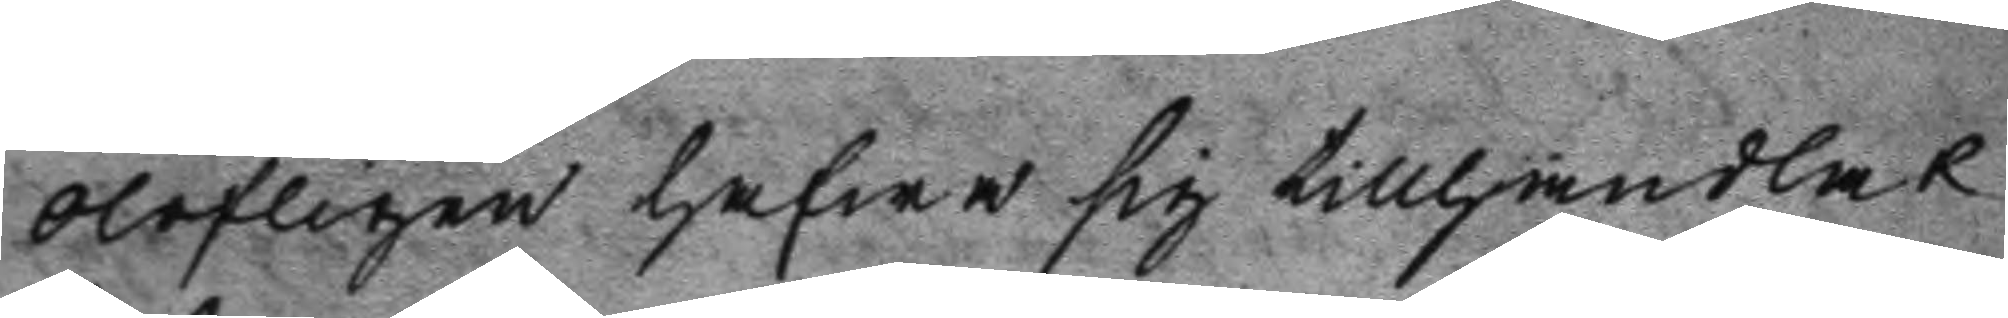olofligen hafwa sig tillhandlat
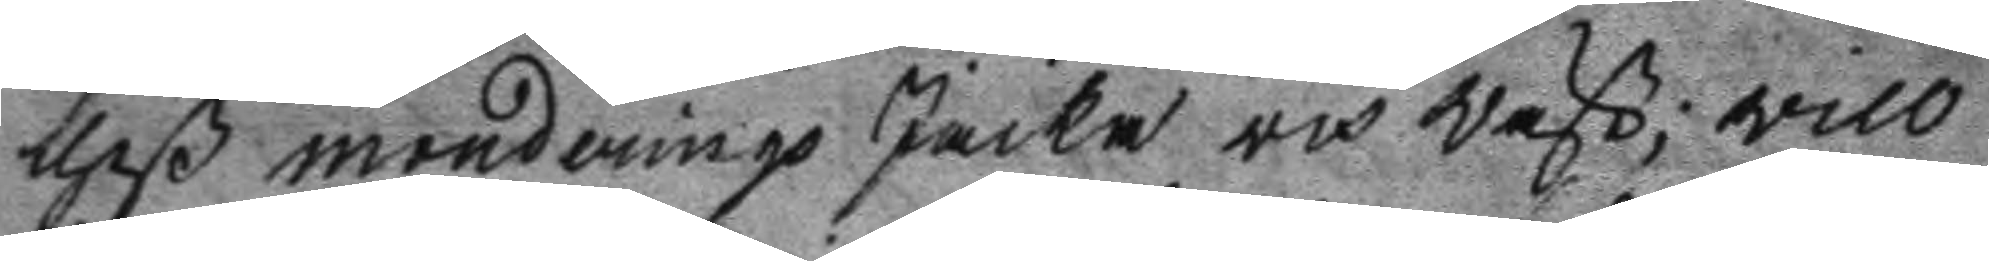theß monderings Jacka och wäst; will
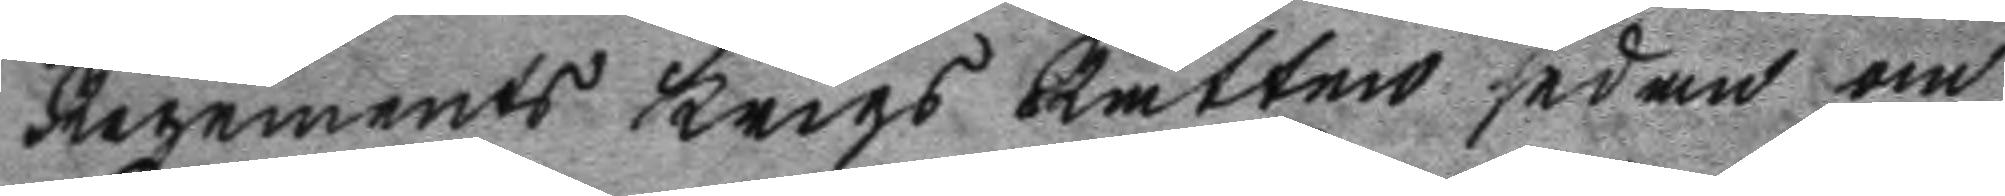Regements Krigs Rätten sedan om
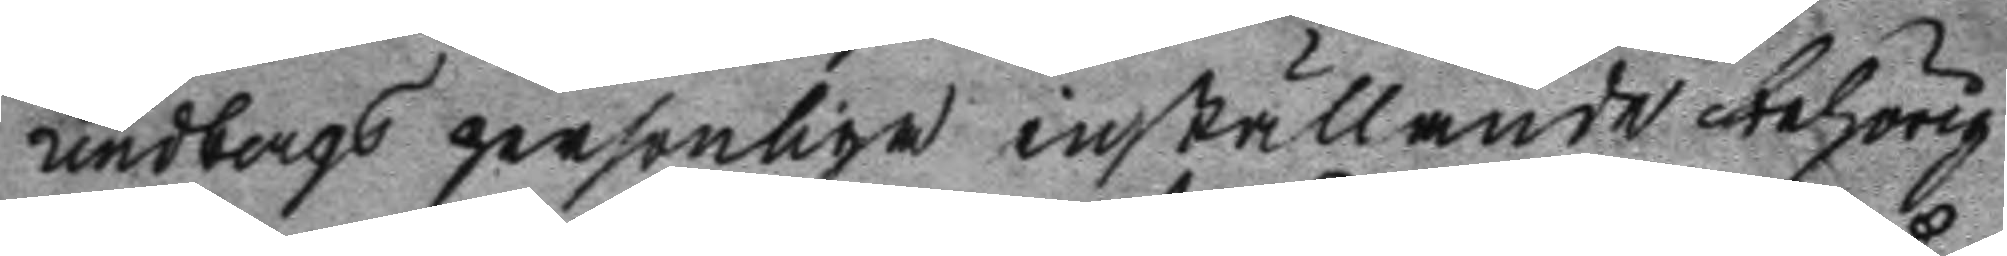Lindbergs personliga inställande behörig
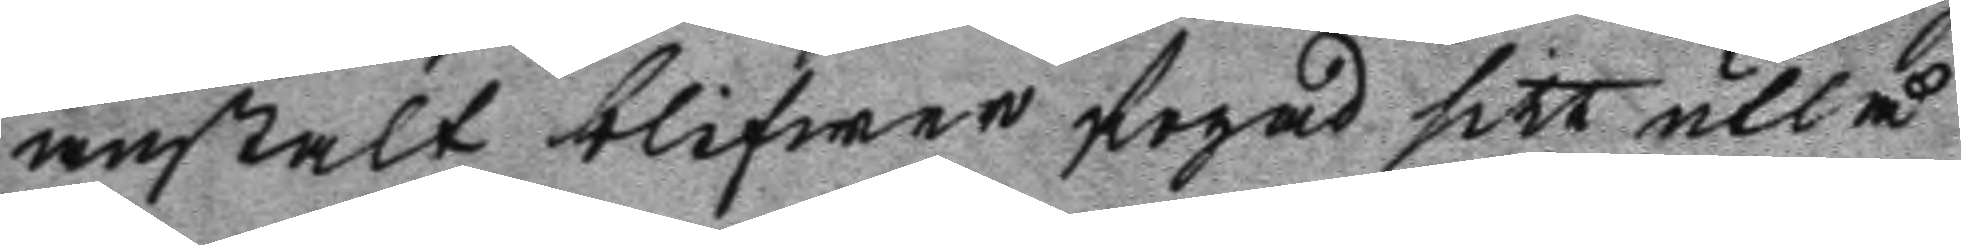anstalt blifwer fogad sill utlå
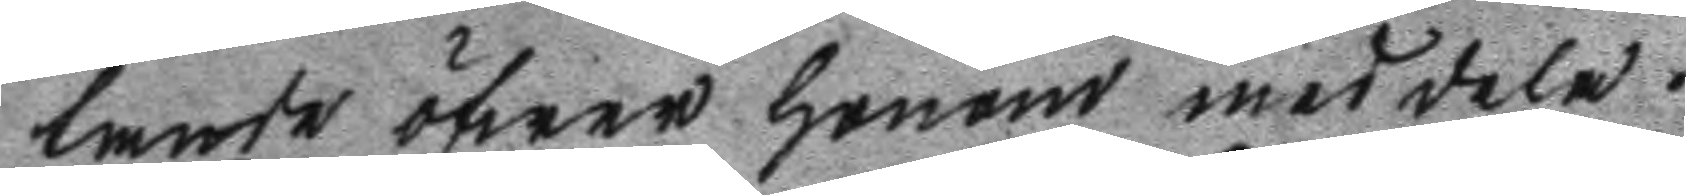tande öfwer honom meddela.
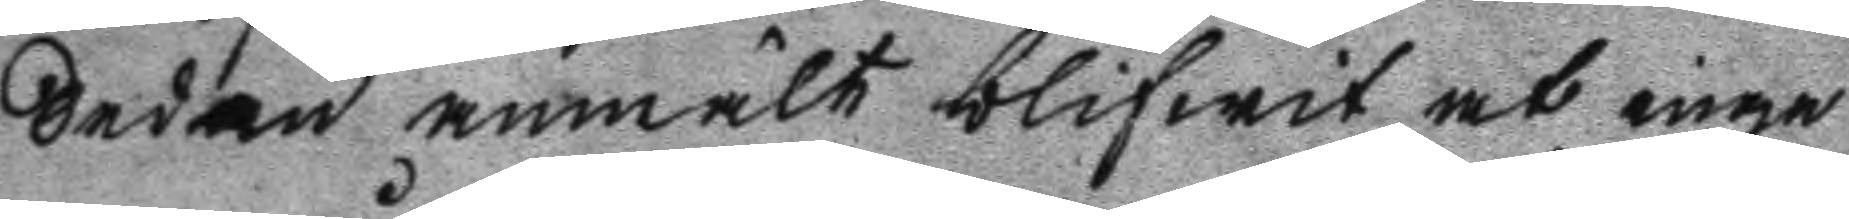Sedan anmält blifwit at inga
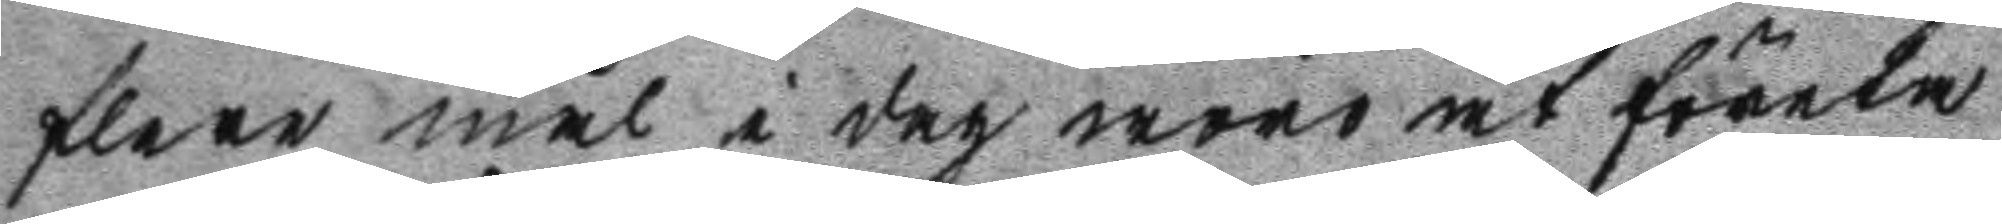flere mål i dag woro at företa
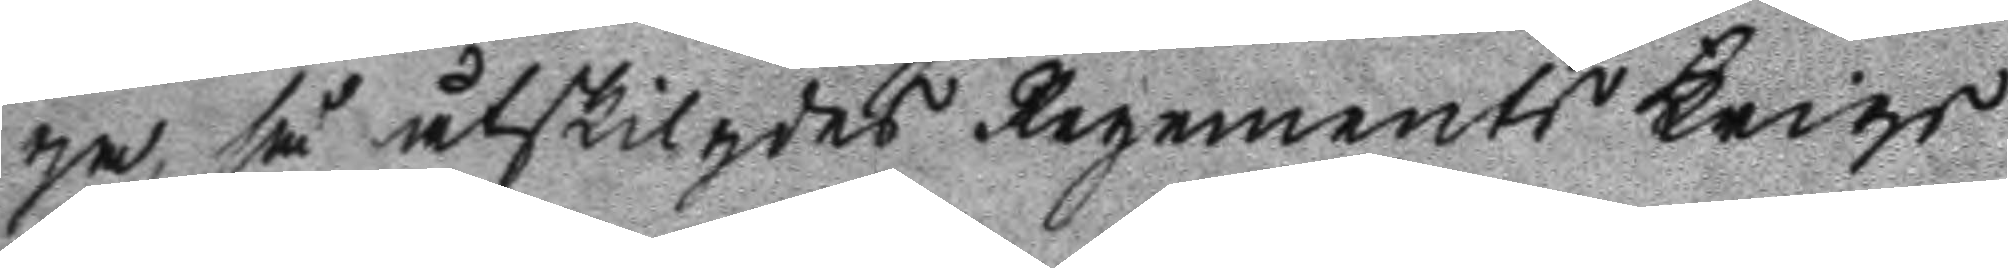ga, så åtskigdes Regements Krigs
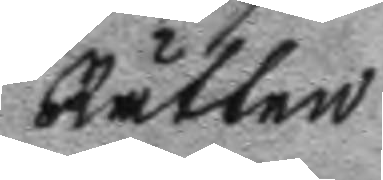Rätten
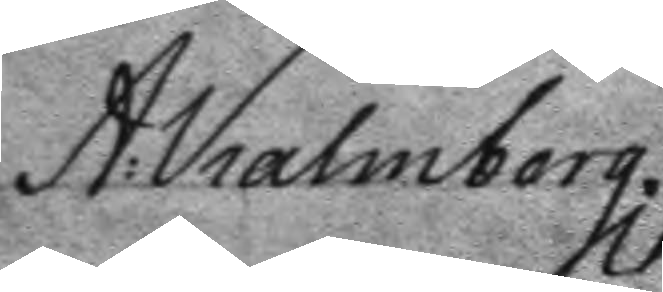A: Kalmborg.
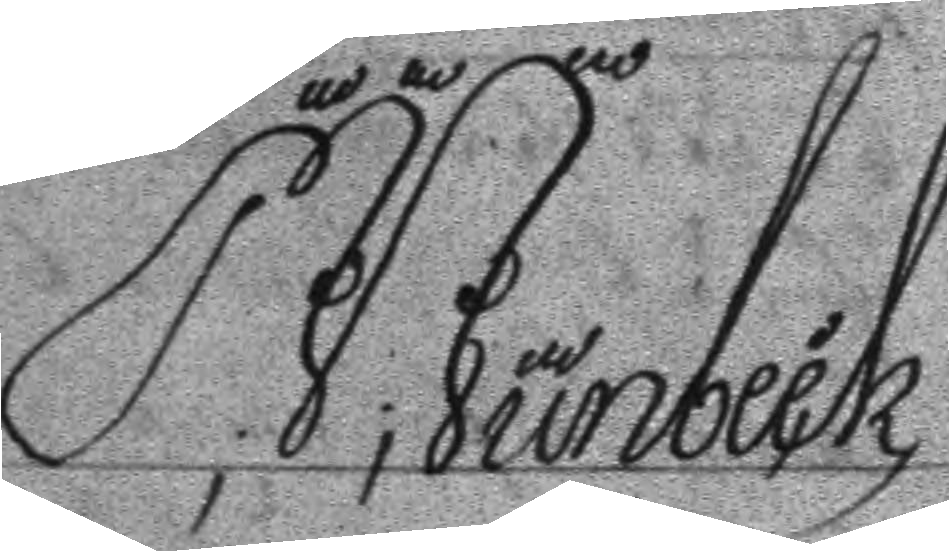P; J; Junbeck
